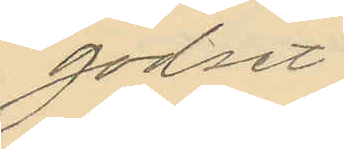godset.
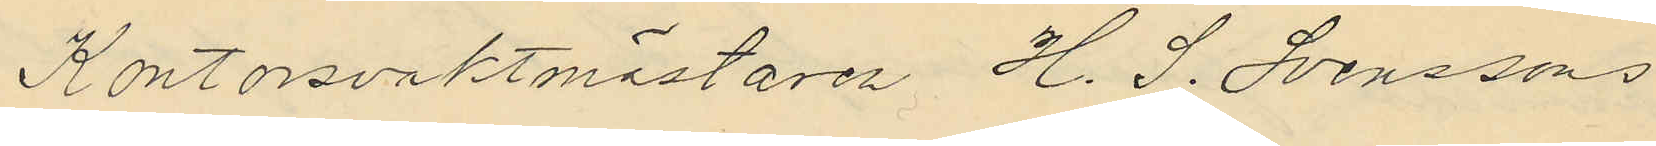Kontorsvaktmästaren H. S. Svenssons
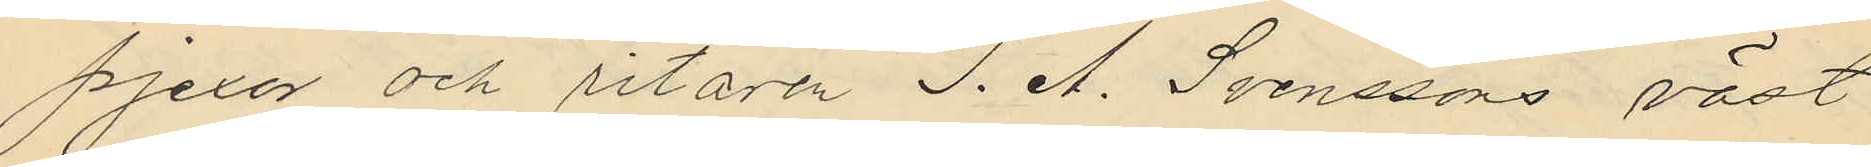pjexor och ritaren J. A. Svenssons väst
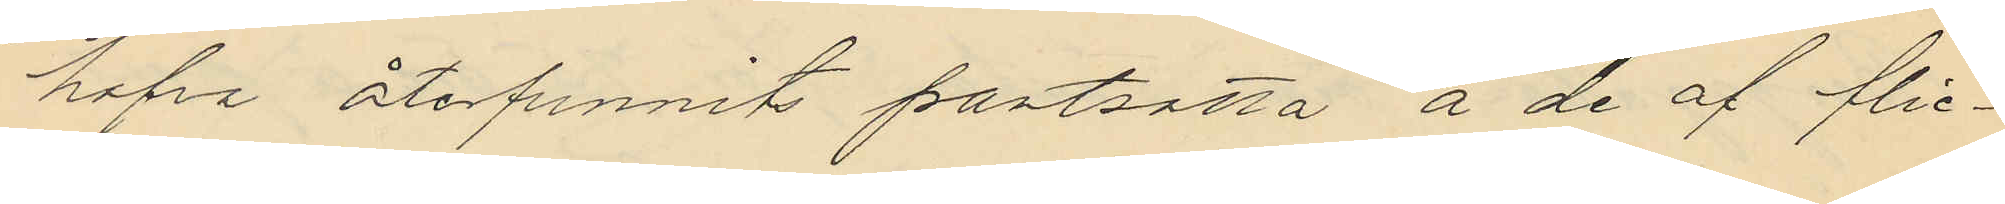hafva återfunnits pantsatta å de af flic¬
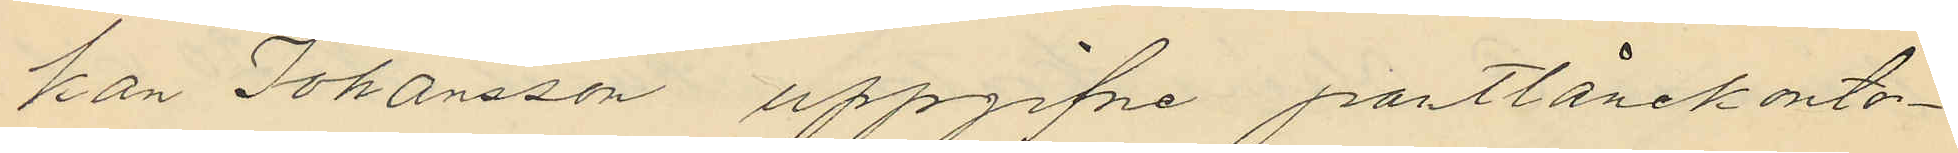kan Johansson uppgifne pantlånekonto¬
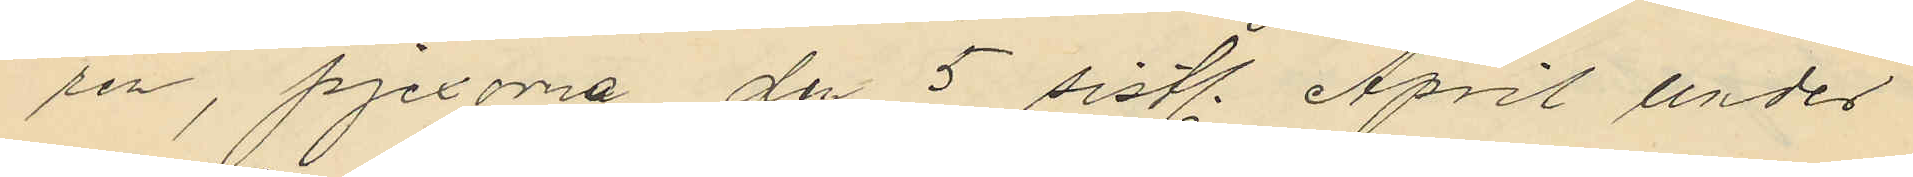ren, pjexorna de 5 sistl. April under
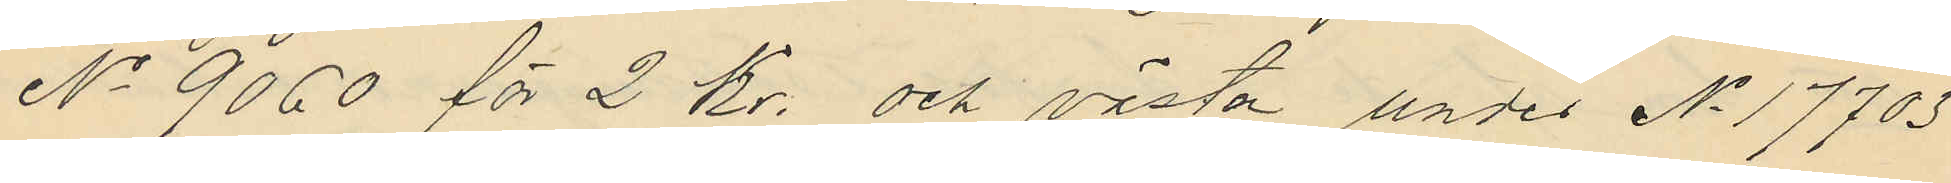No 9060 för 2 Kr. och västen under No 17703
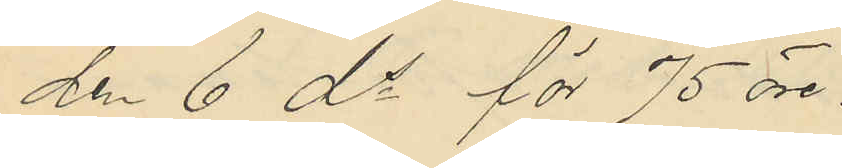den 6 ds för 75 öre.
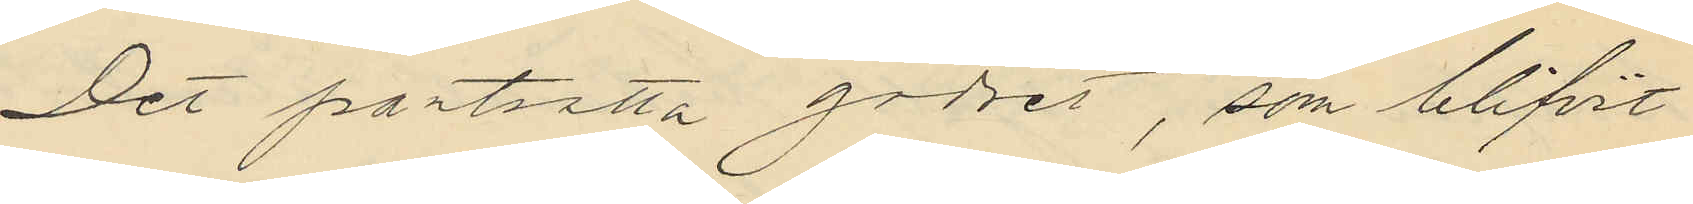Det pantsatta godset, som blifvit
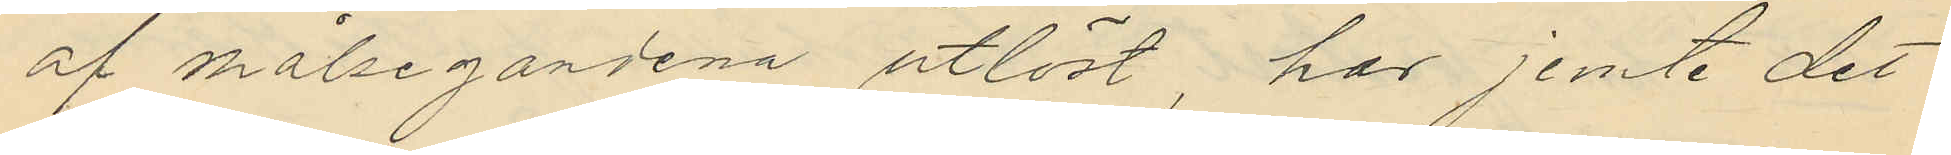af målsegandena utlöst, har jemte det
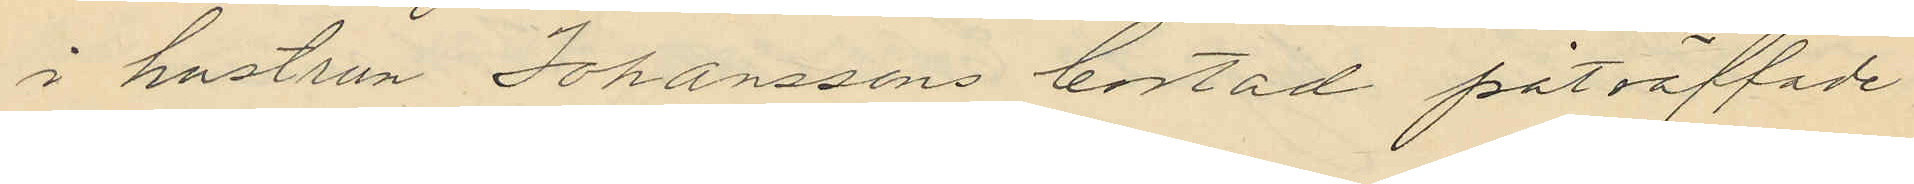i hustrun Johanssons bostad påträffade
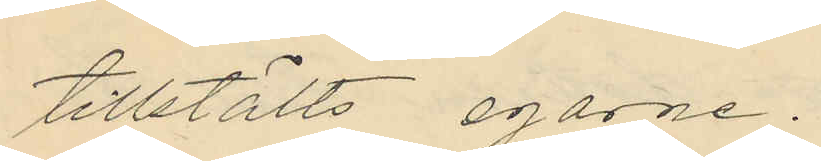tillstälts egarne.
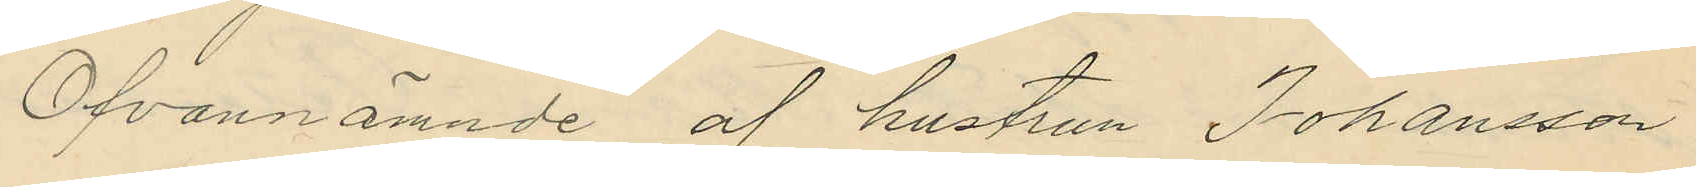Ofvannämnde af hustrun Johansson
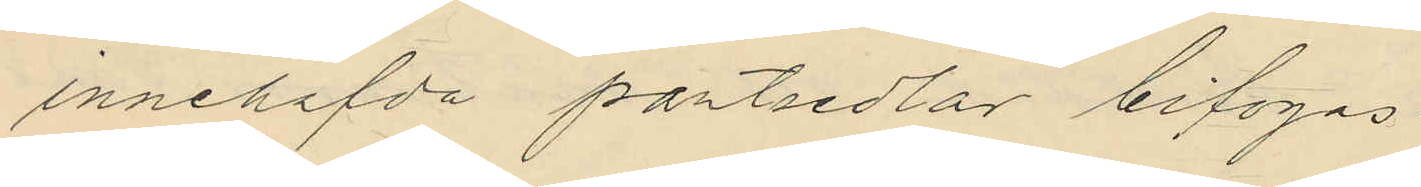innehafda pantsedlar bifogas.
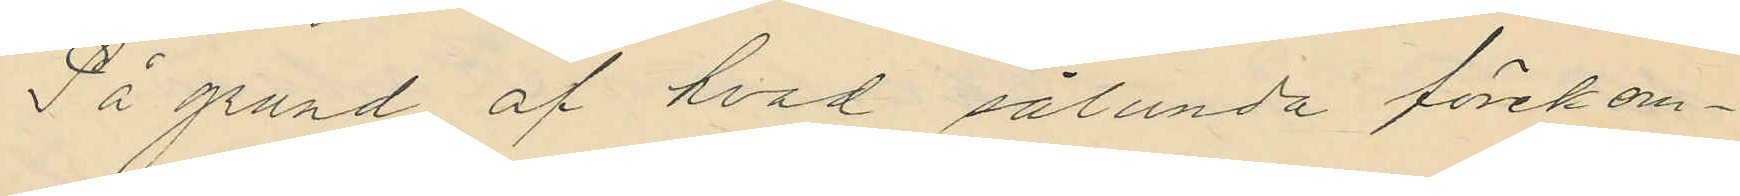På grund af hvad sålunda förekom¬
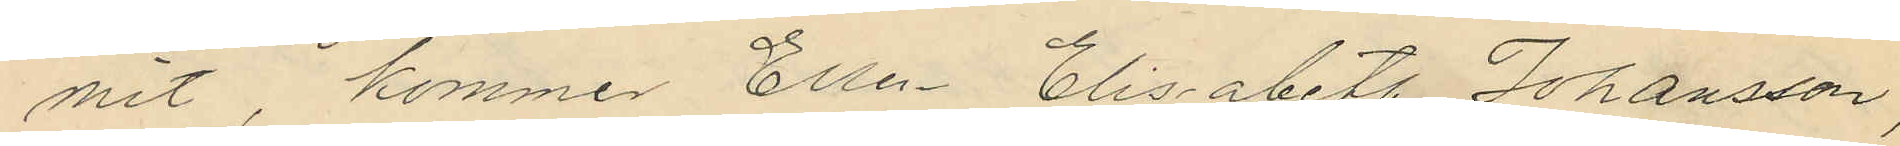mit, kommer Ellen Elisabeth Johansson,
